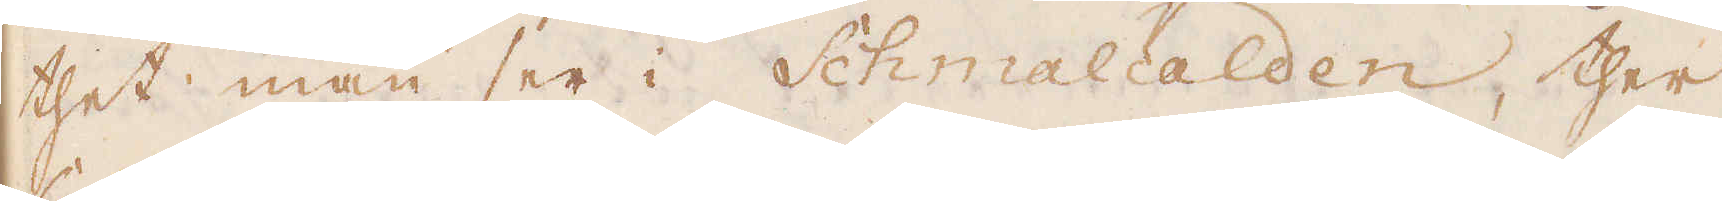thet man ser i Schmalcalden, ther
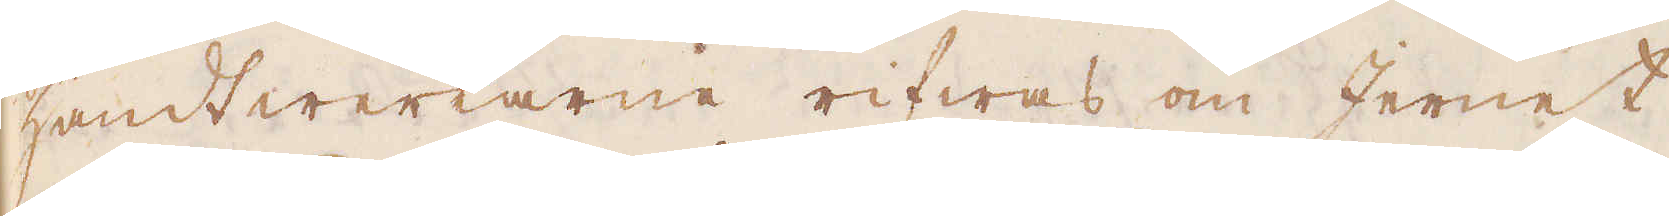handtwerkarne rifwas om Jernet
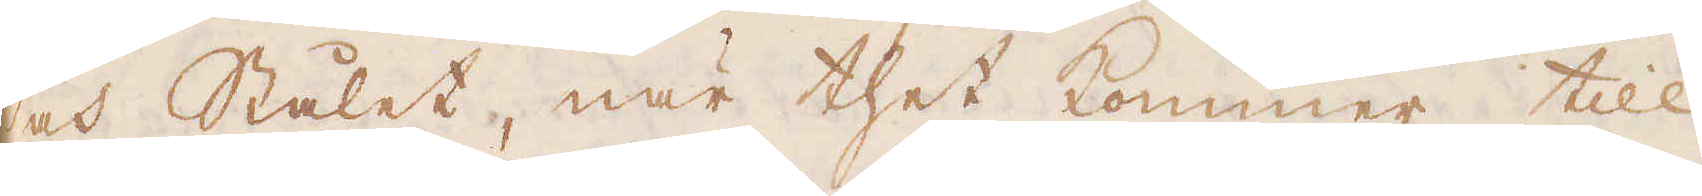och Stålet, när thet kommer till
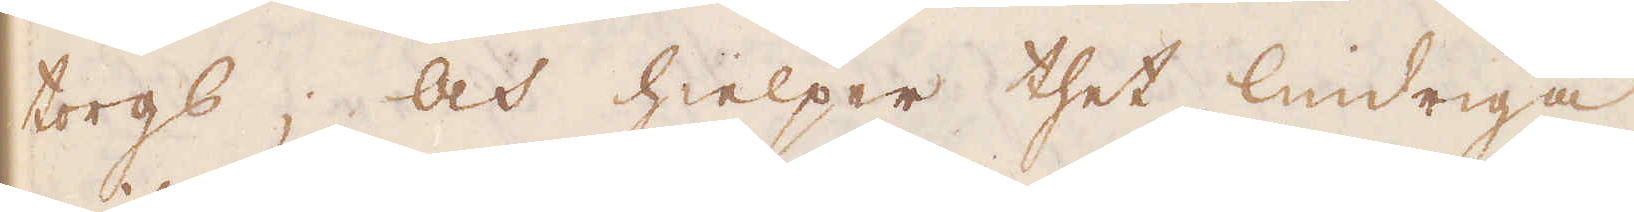torgs, och hielper thet lindriga
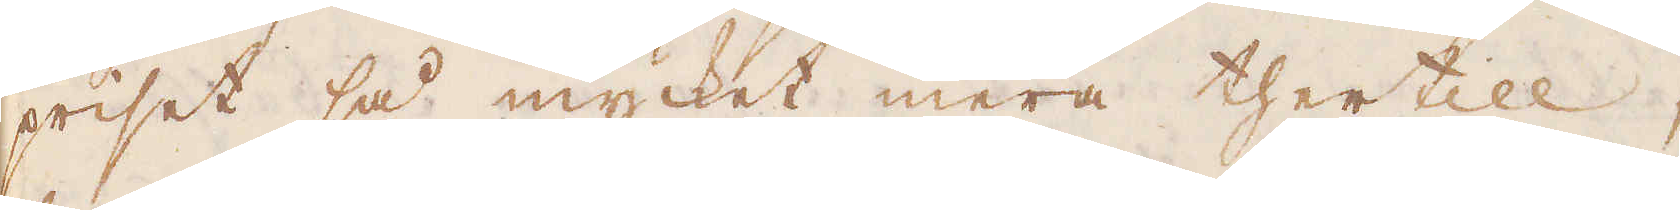priset så mycket mera thertill,
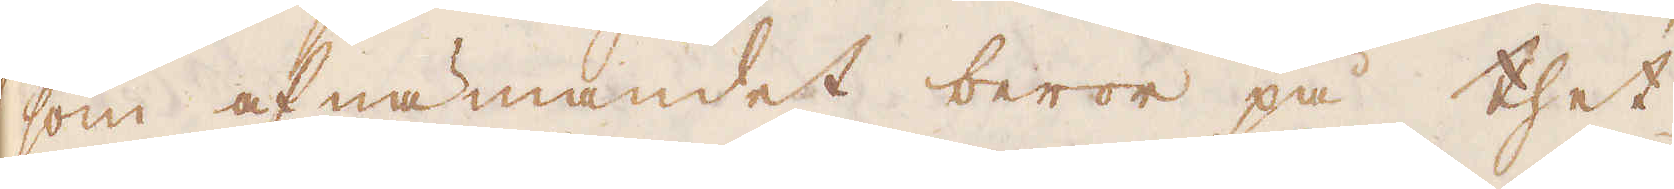som af nämandet beror på thet
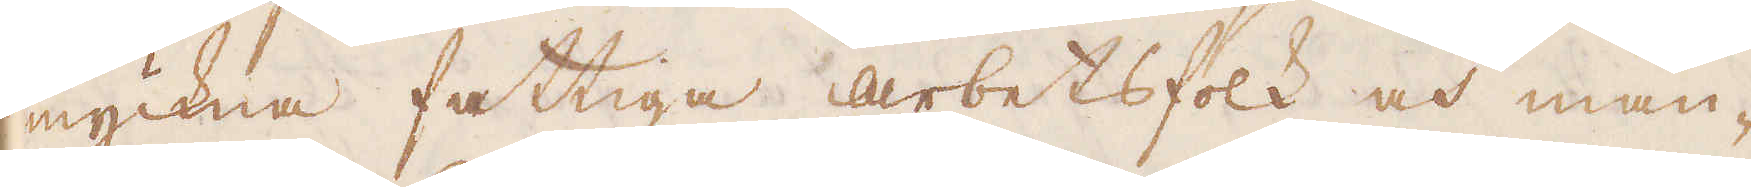myckna fattiga arbetsfolk och mån-
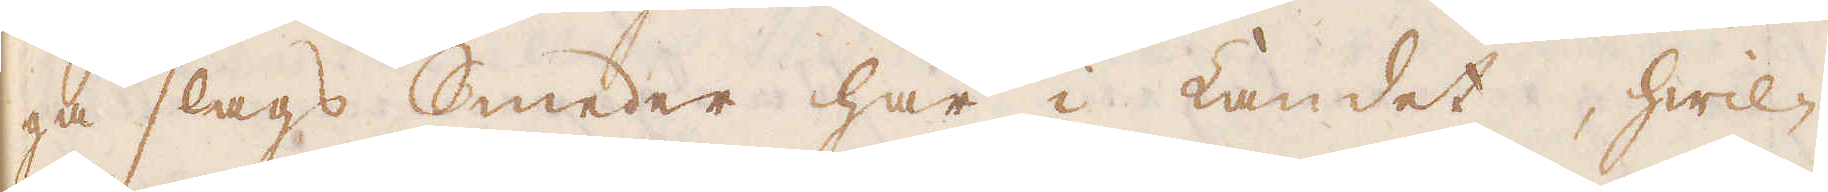ga slags Smeder här i Landet, hwil-
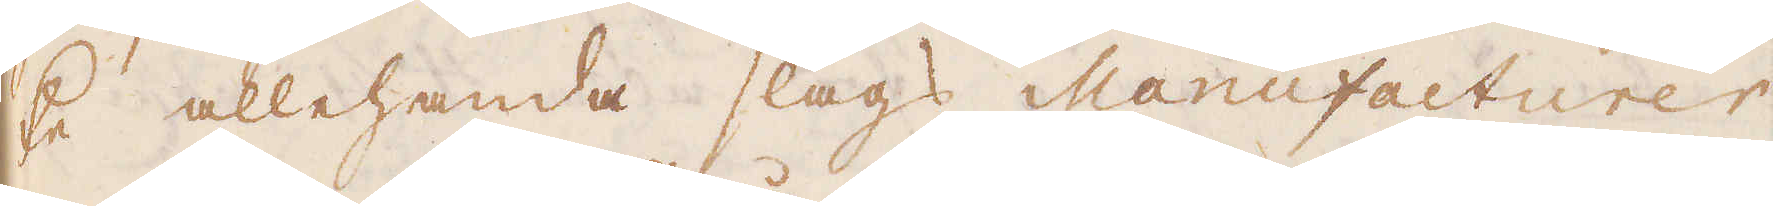ke allehanda slags Manufacturer
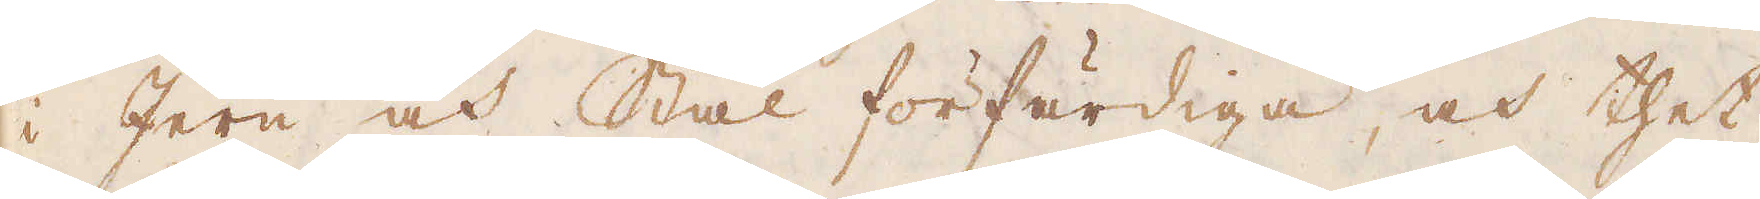i Jern och Stål förfärdiga, och thet
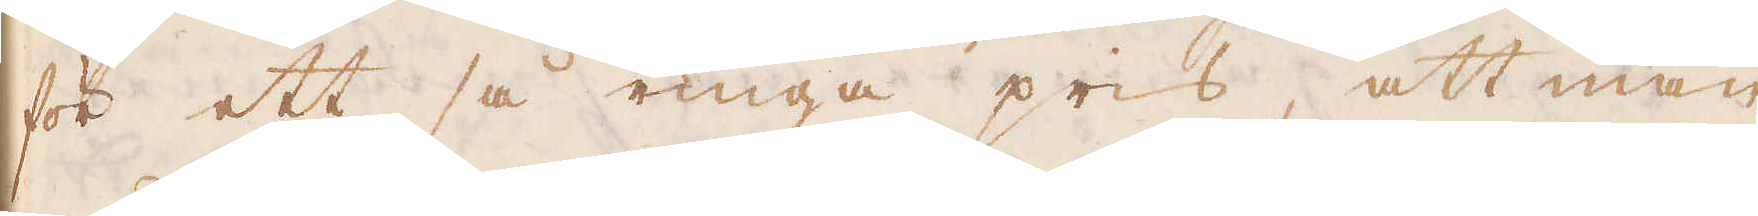för ett så ringa pris, att man
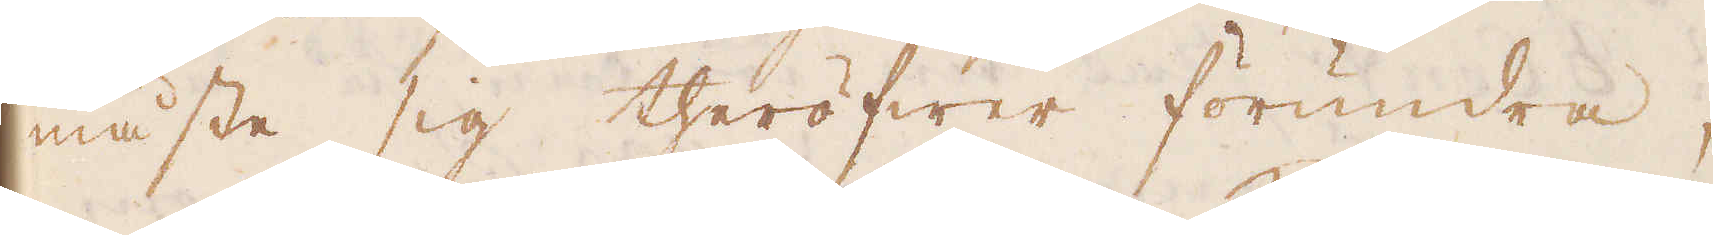måste sig theröfwer förundra,
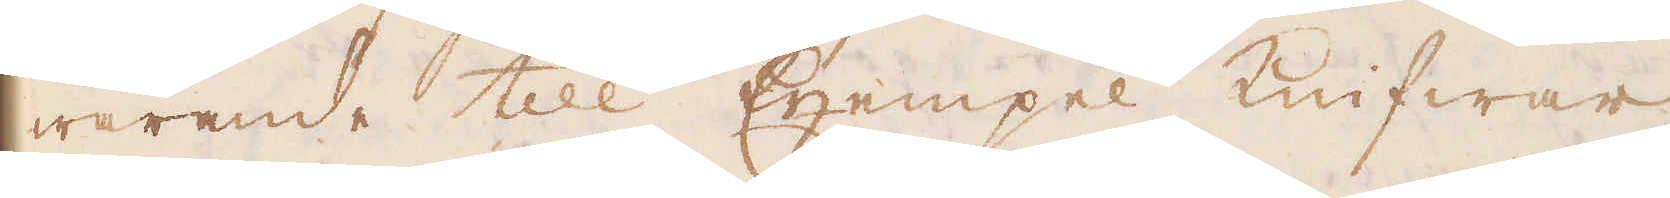warende till Exempel Knifwar
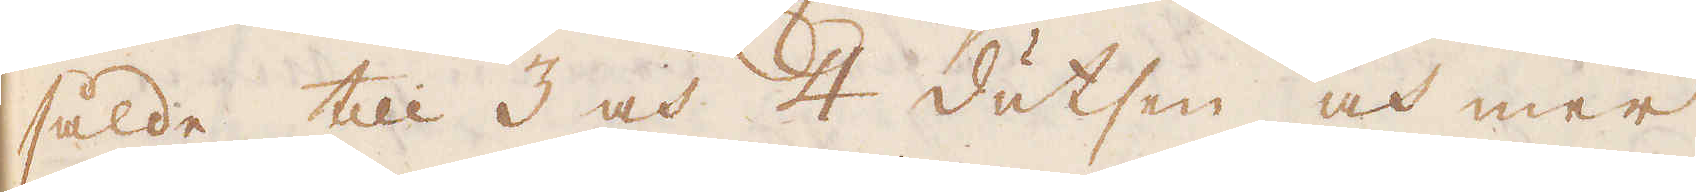sålde till 3 och 4 dutsen och mer
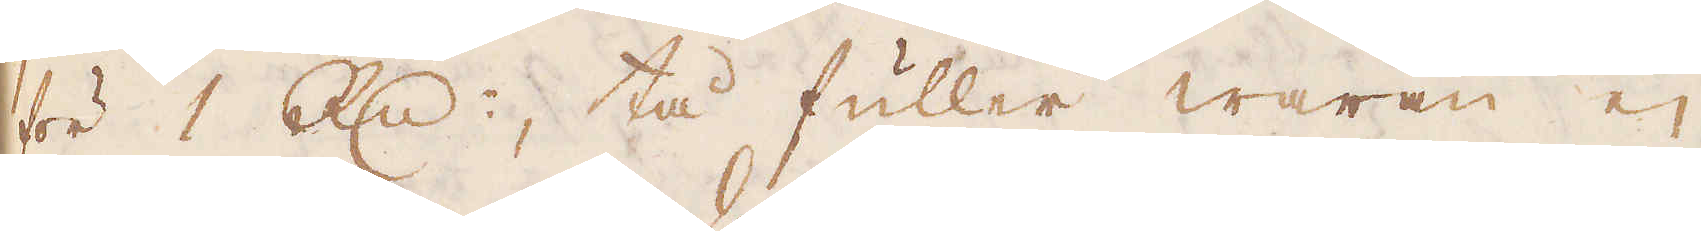för 1 R:dr, tå fuller waran ej
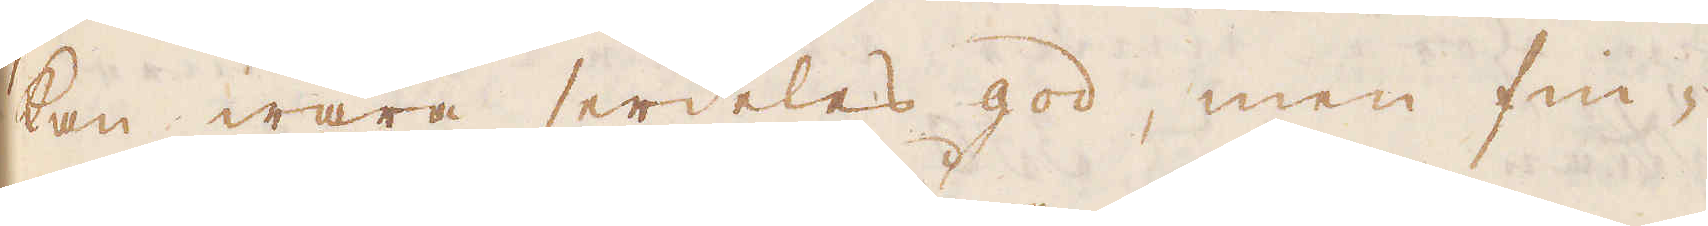kan wara serdeles god, men fin-
